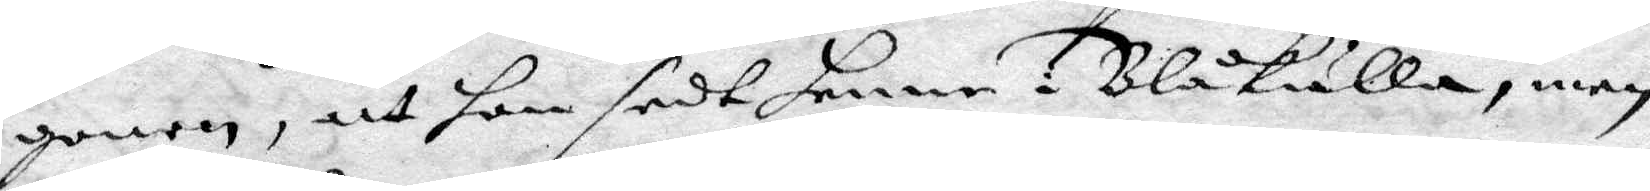gonen, att hon sedt henne i Blåkulla, men
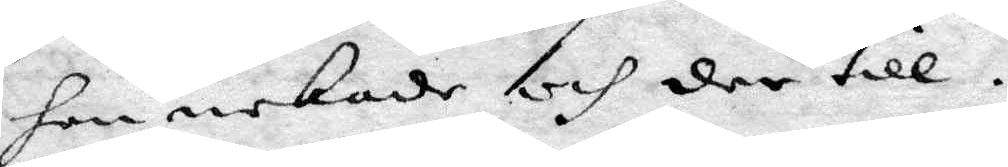hon nekade och der till.
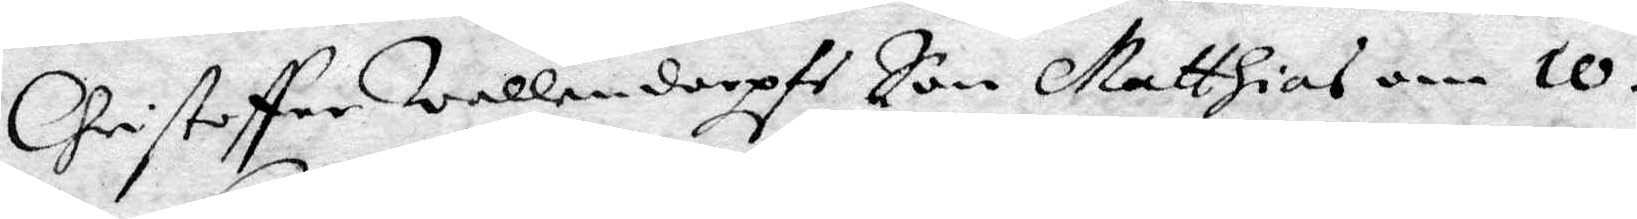Christoffer Wallendorps Son Matthias om 10
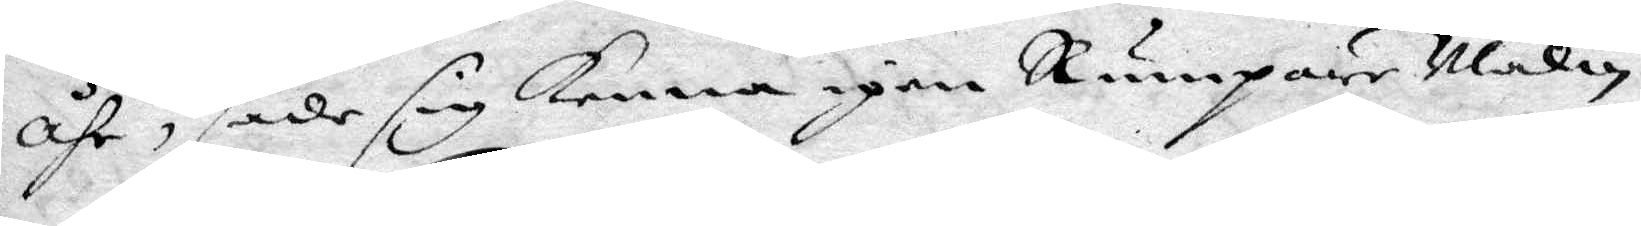åhr, sade sig kenna igen Rumpare Malin
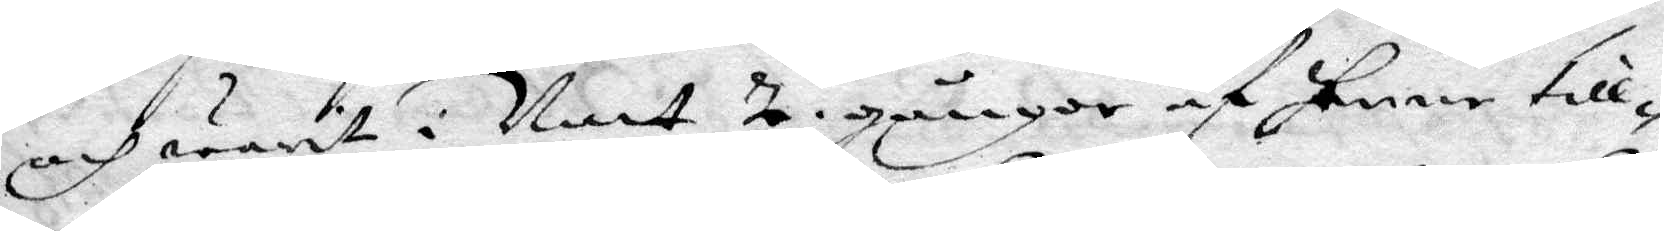och warit i Natt 2 gånger af henne till¬
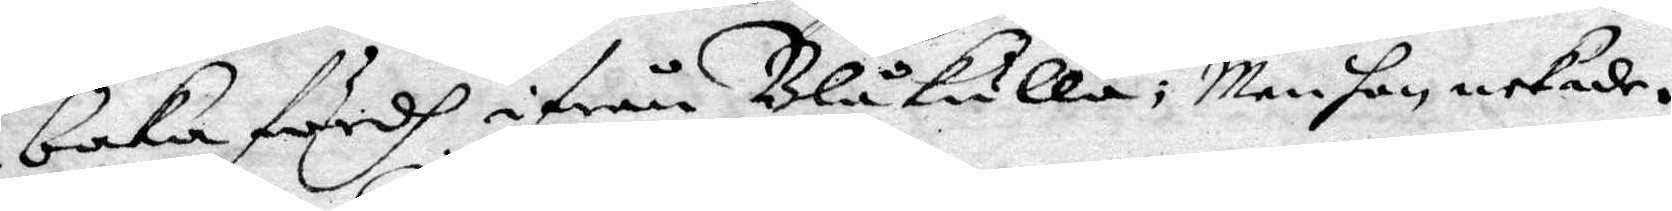baka färdh ifrån Blåkulla; Men hon nekade.
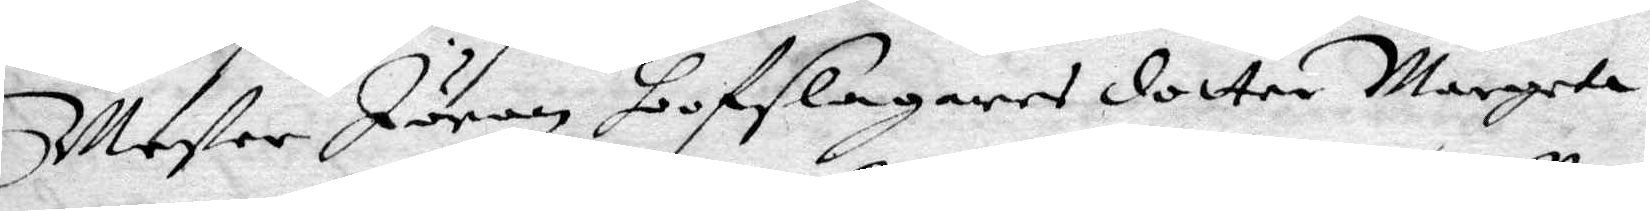Mester Jöran Hofslagares dotter Margeta
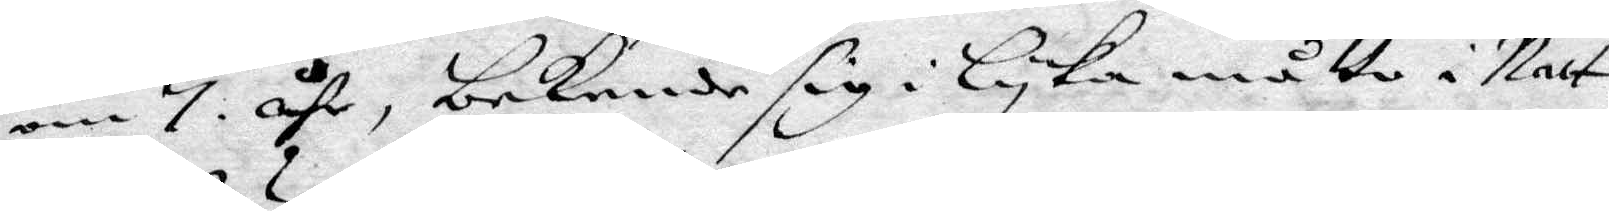om 7 åhr, bekende sig i lyka måtto i Natt
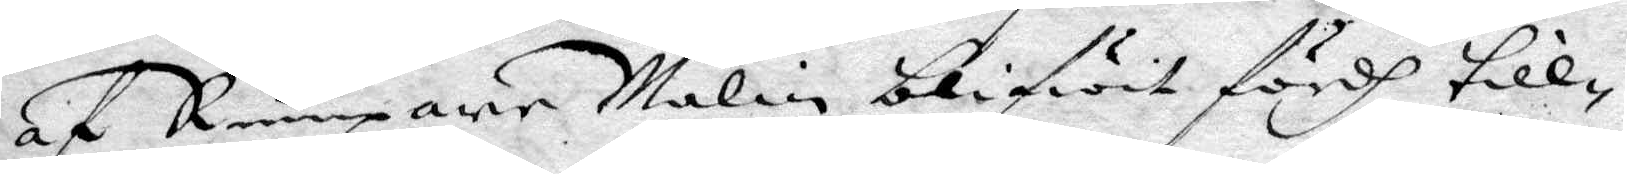af Rumpare Malin blifwit fördh till¬
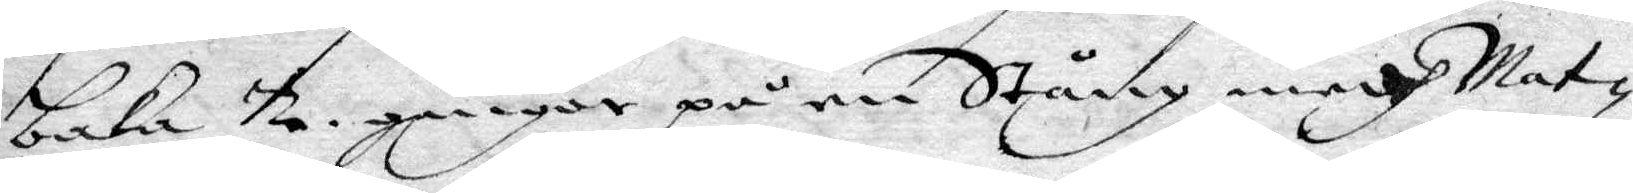baka 2 gånger på en Stång medh Mat¬
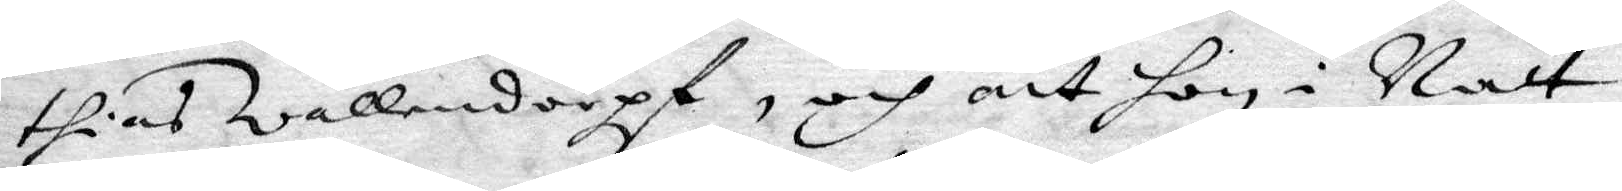thias Wallendorpt, och att hon i Natt
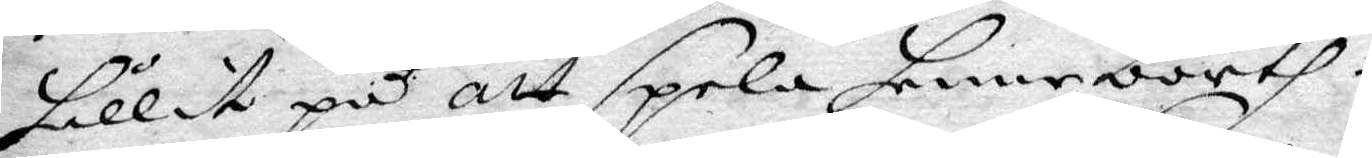hållit på att spela henne borth.
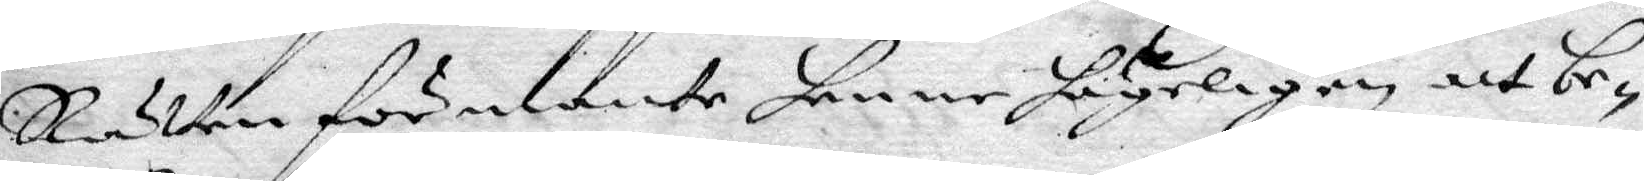Rätten förmante henne högeligen att be¬
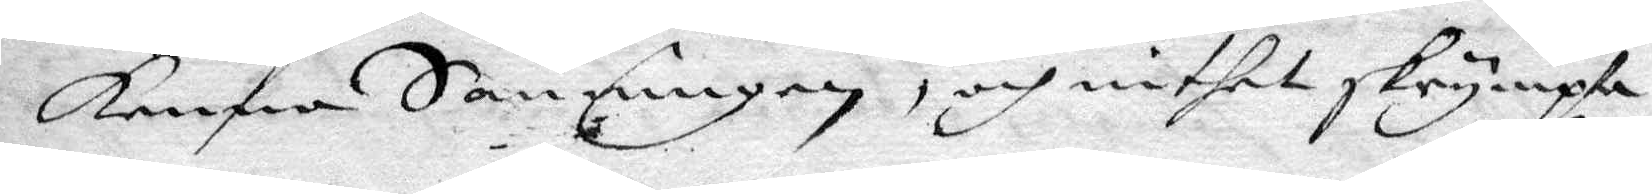kenna Sanningen, och inthet skrympta
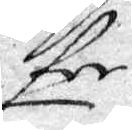för
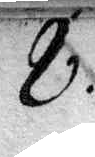8.
